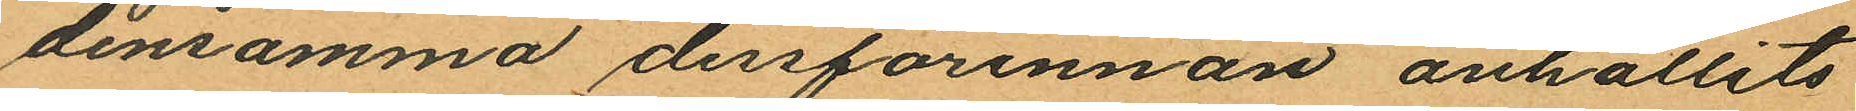densamma dessförinnan anhållits
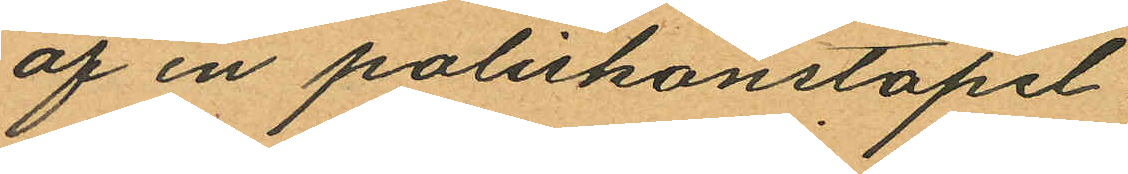af en poliskonstapel.
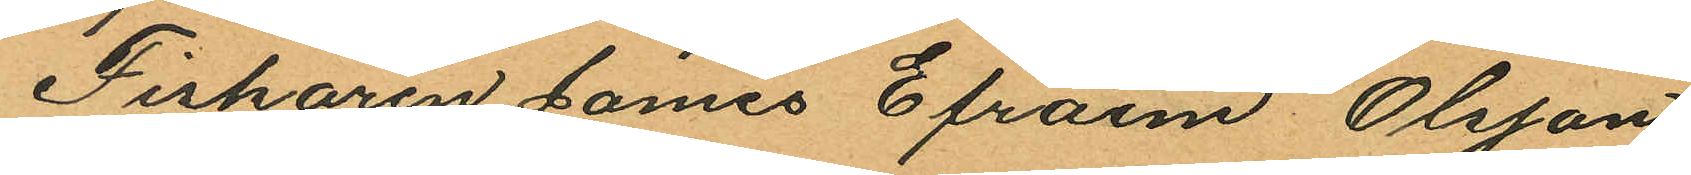Fiskaren James Efraim Olsson
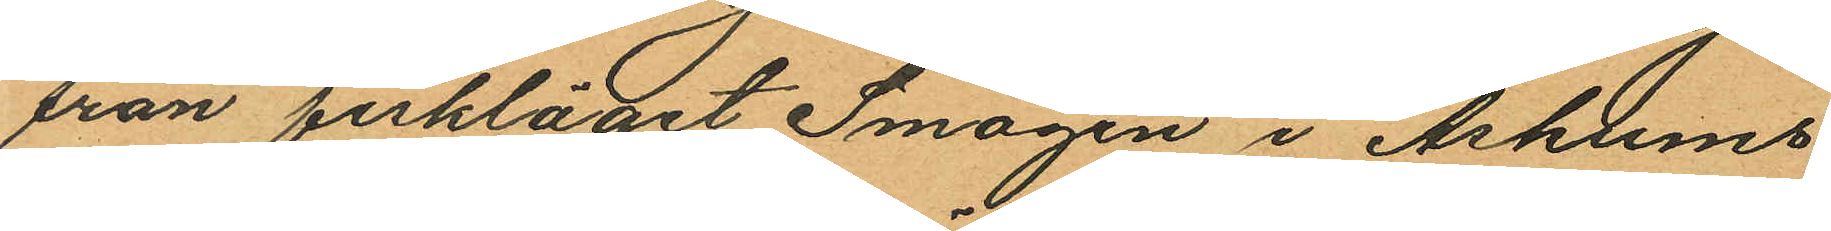från fiskläget Smögen i Askums
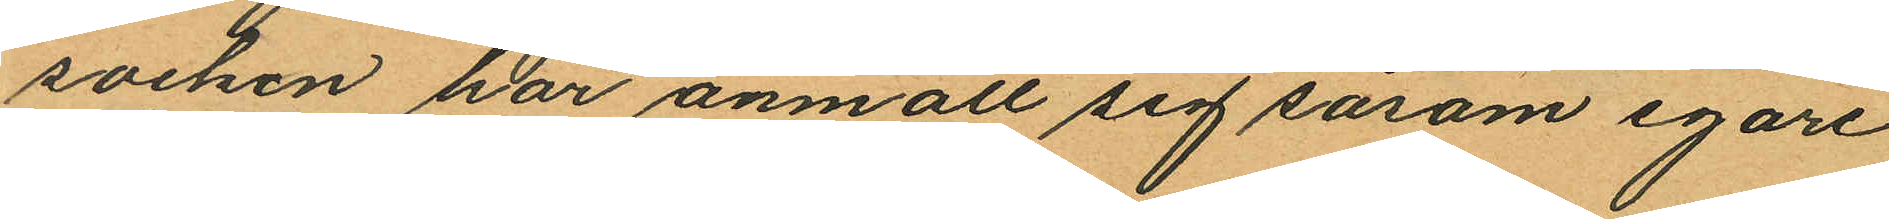socken har anmält sig såsom egare
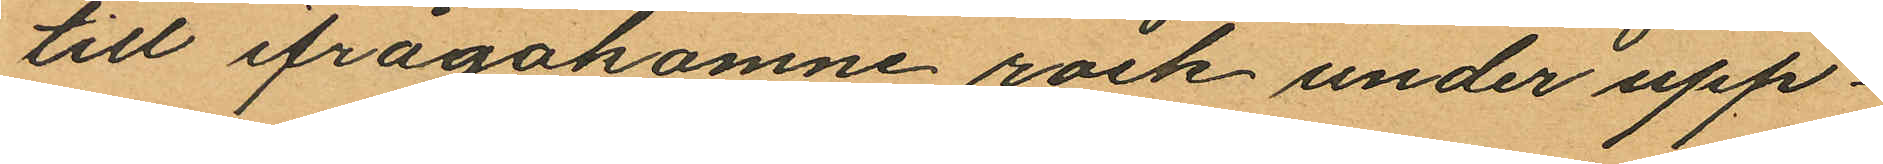till ifrågakomne rock under upp¬
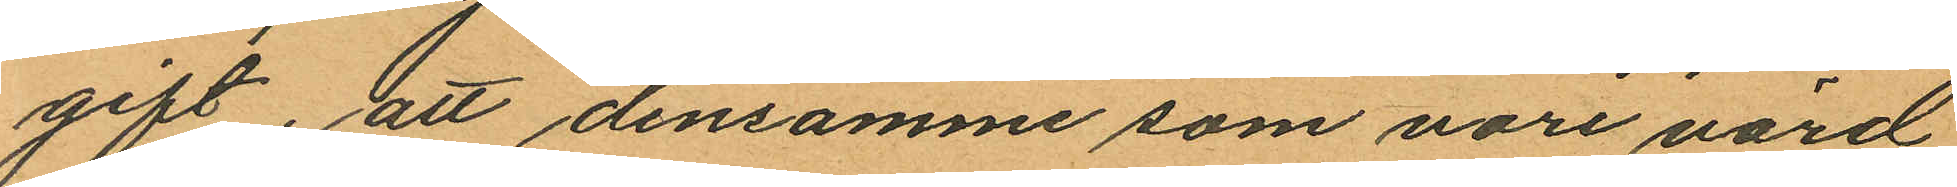gift, att densamme som vore värd
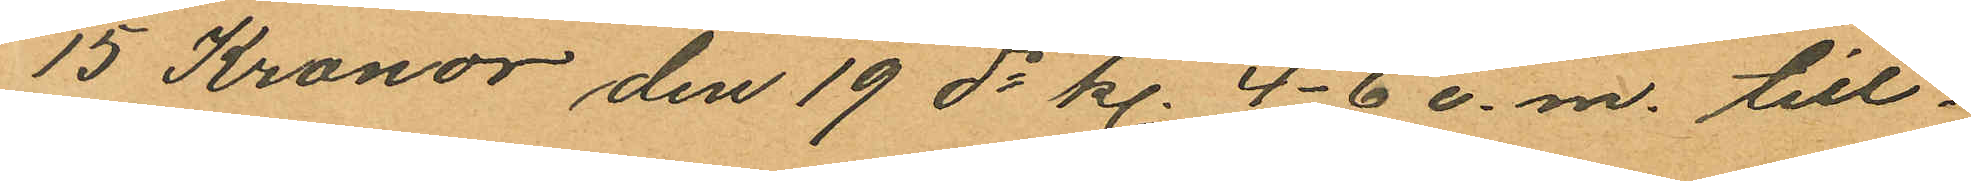15 Kronor den 19 ds kl. 4-6 e.m. till¬
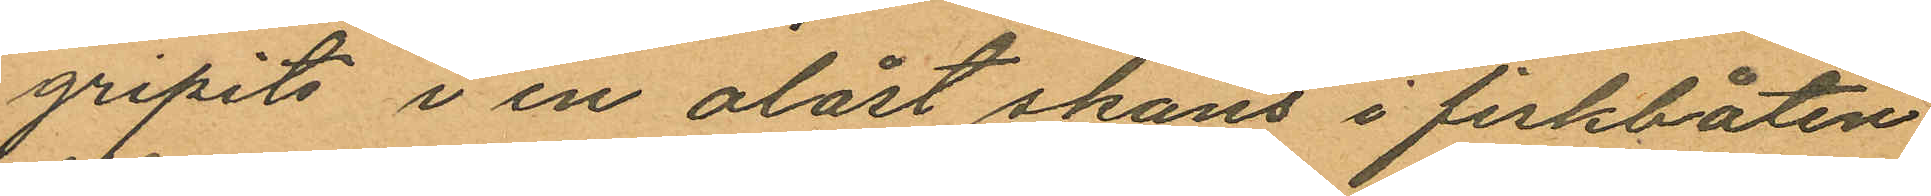gripits i en olåst skans i fiskbåten
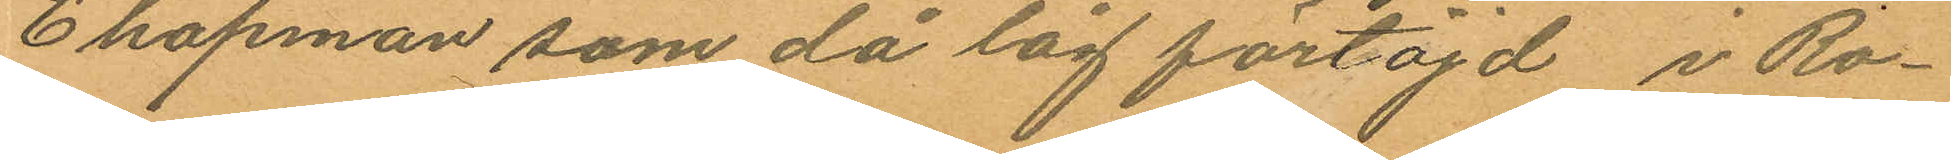Chapman som då låg förtöjd i Ro¬
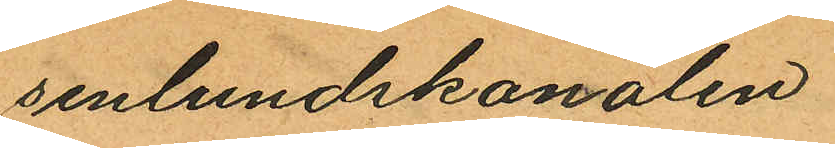senlundskanalen.
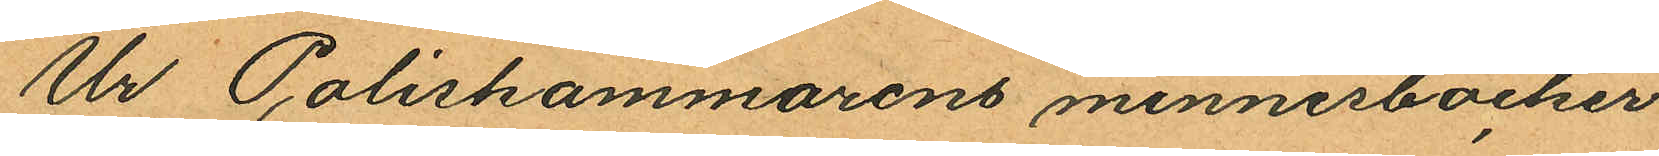Ur Poliskammarens minnesböcker
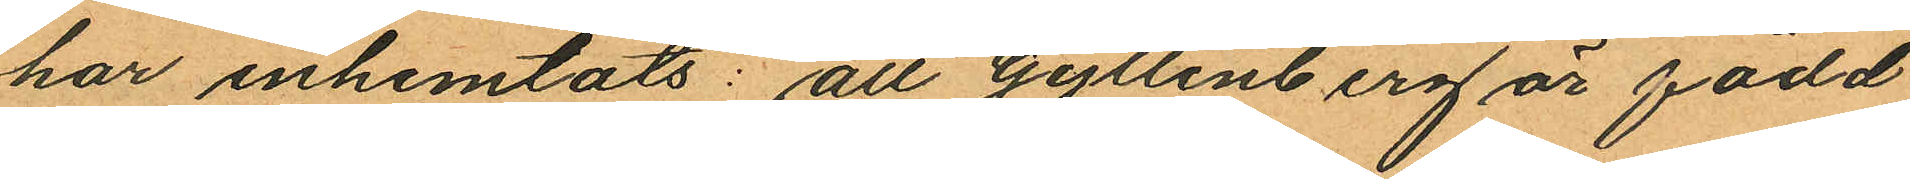har inhemtats: att Gyllenberg är född
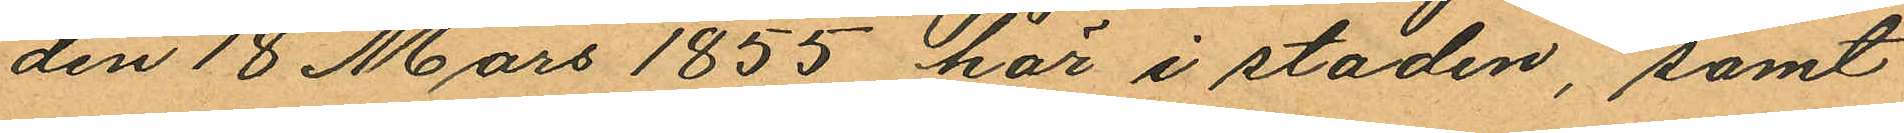den 18 Mars 1855 här i staden, samt
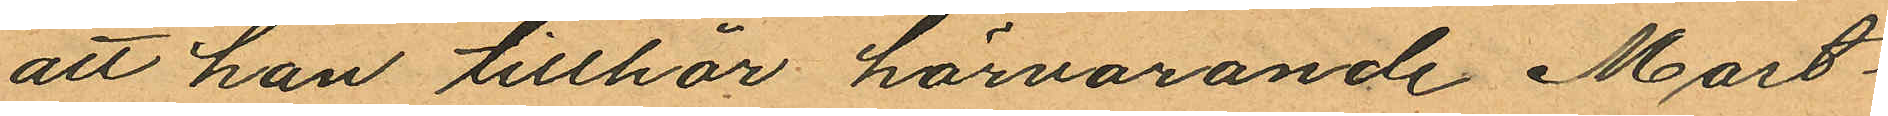att han tillhör härvarande Mast¬
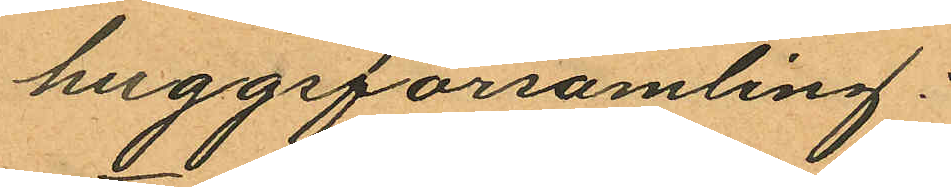huggsförsamling;
